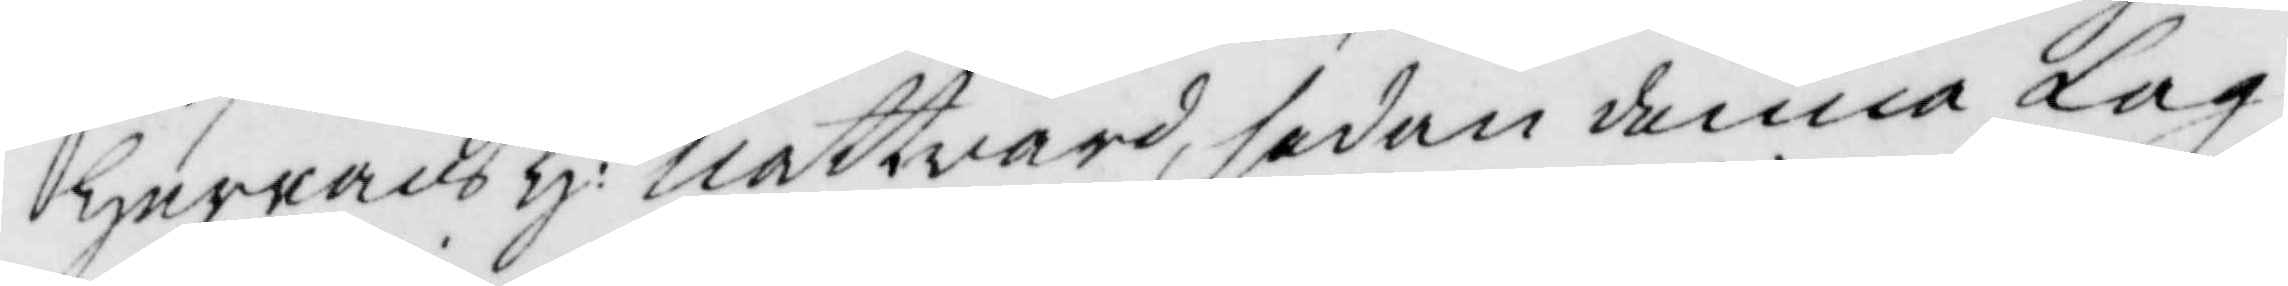Herrans H: nattvard, sedan denna Lag¬
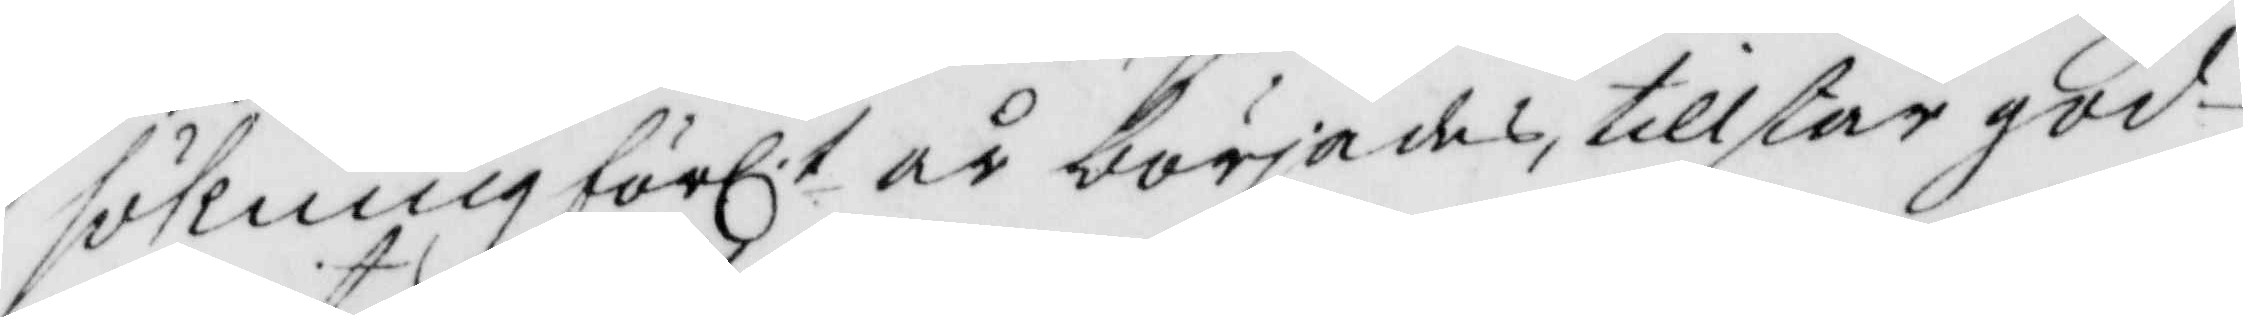sökning förl.t år börjades, tillstår god¬
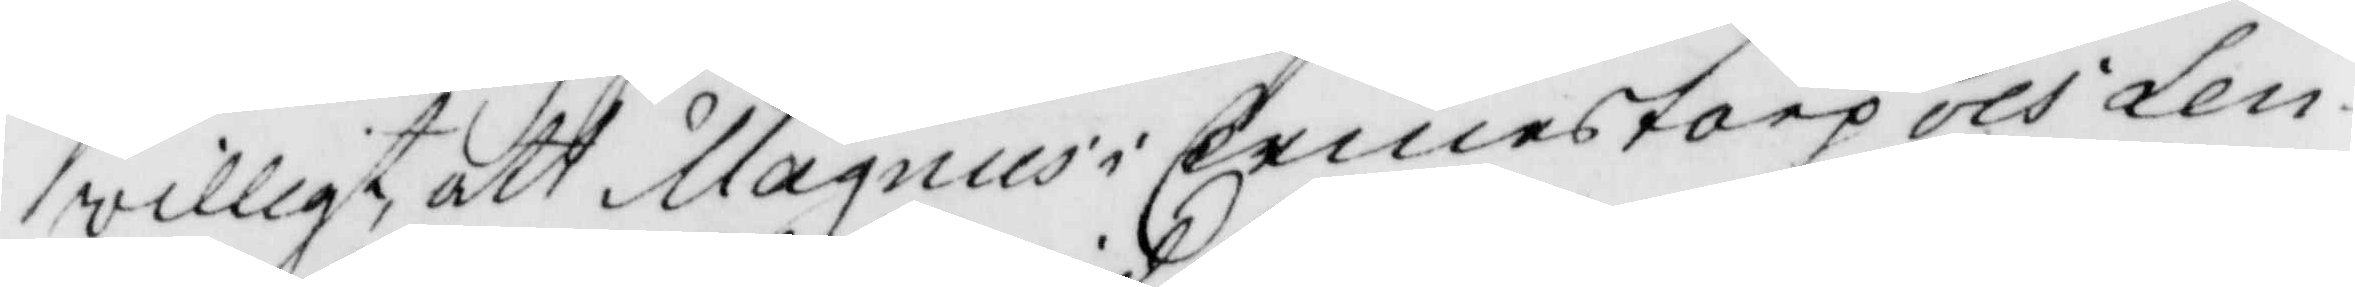villigt, att magnus i Ermestorp och Len¬
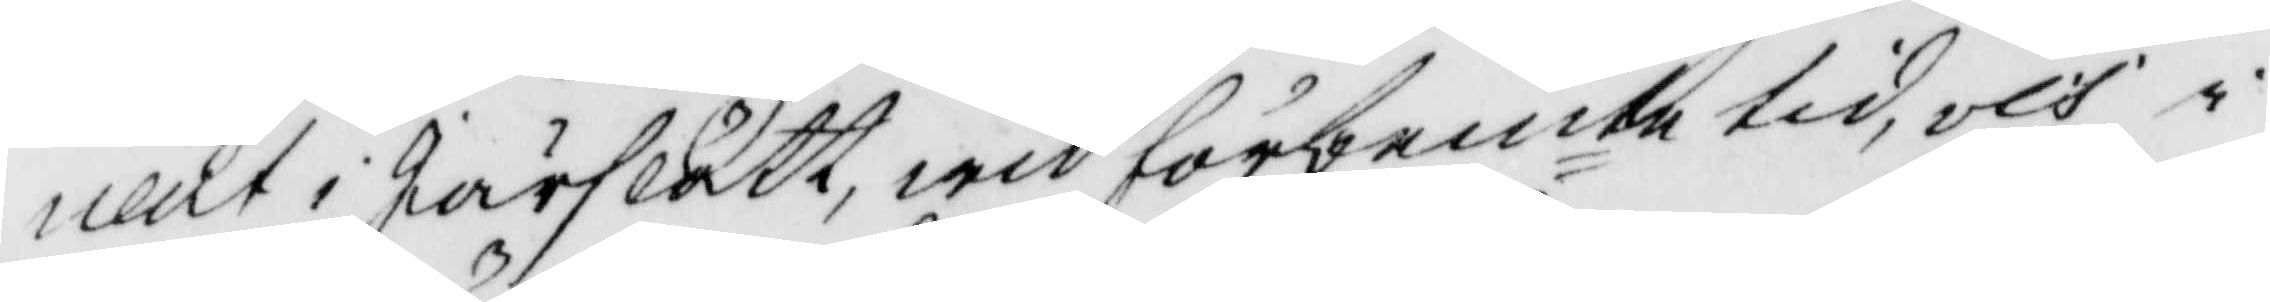nart i Järslätt, wid förbemte tid, och i
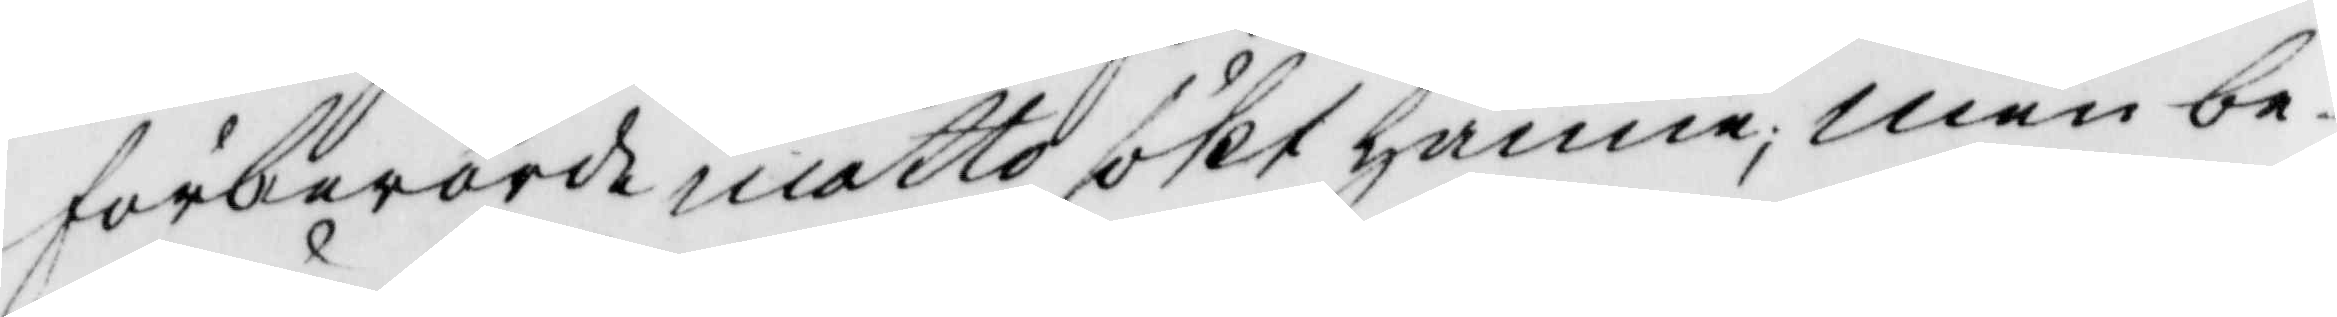förberörde måtto sökt hänne; men be¬
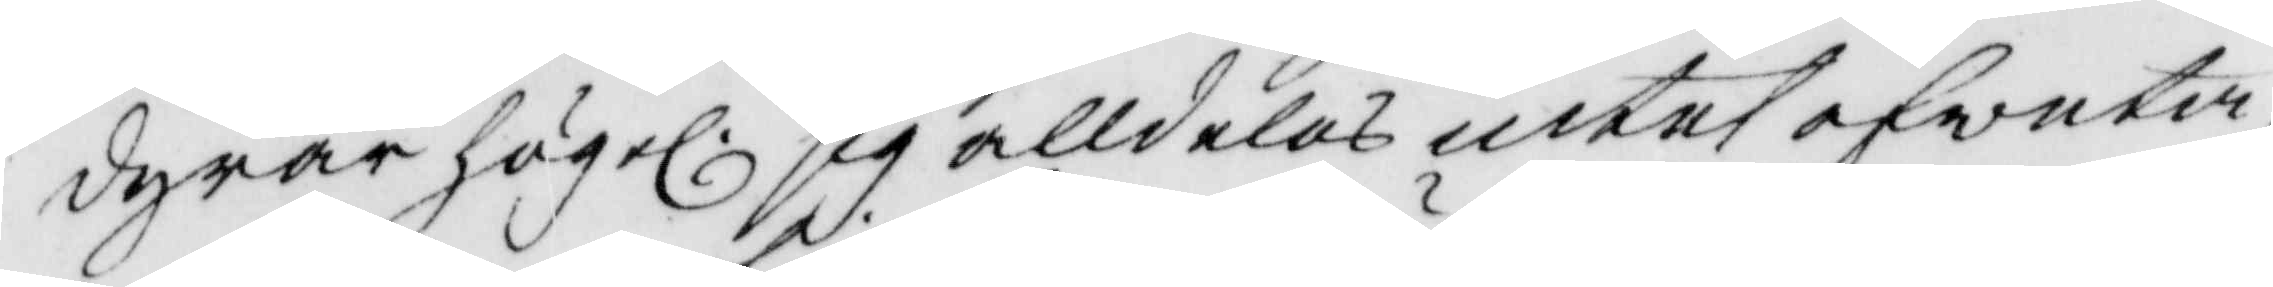dyrar högel. sig alldeles intet afveta
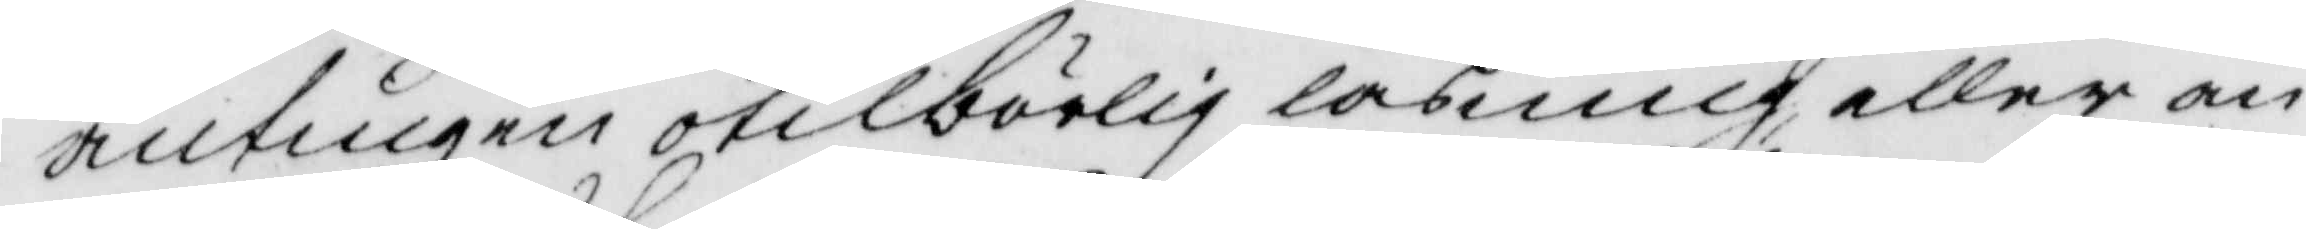antingen otilbörlig läsning eller an¬
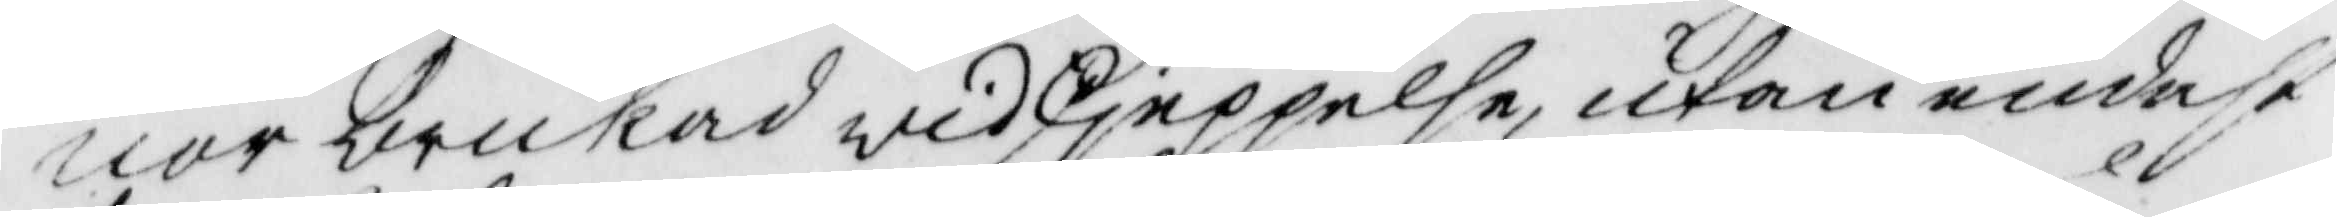nor brukad widsjeppelse, utan endast
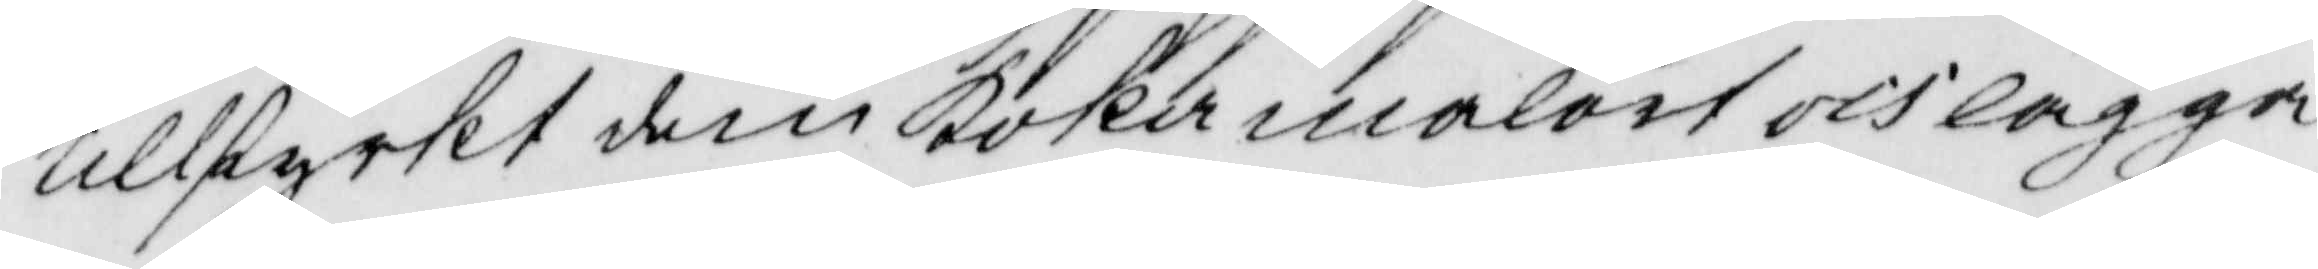tillstyrkt dem koka malört och lägga
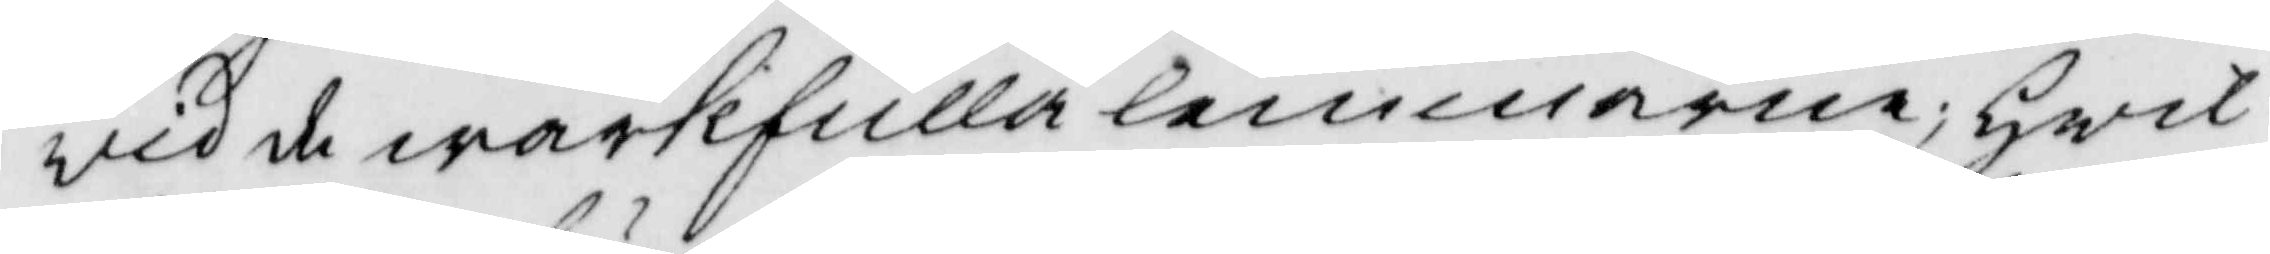vid de wärkfulla lemmarne; Hwil¬
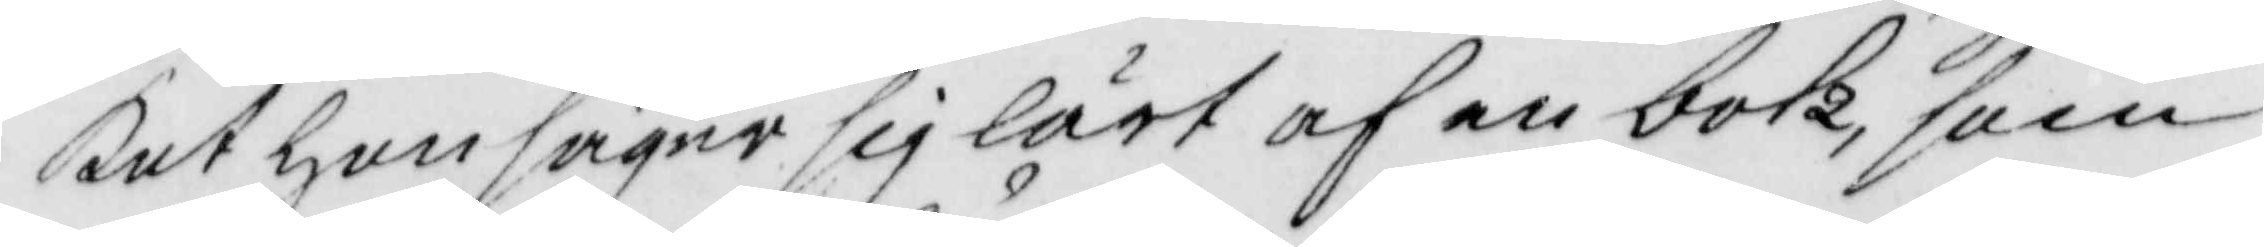ket hon säger sig lärt af en bok, som
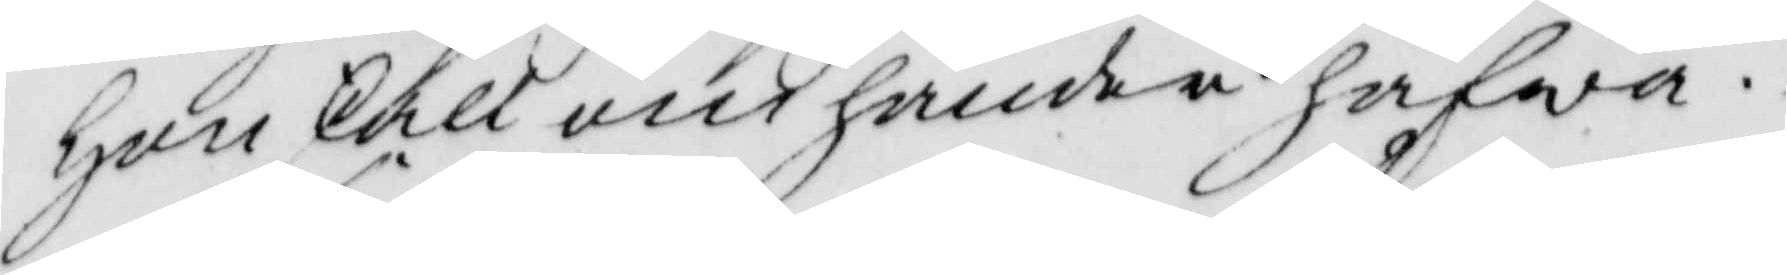hon skall omhänder hafwa.
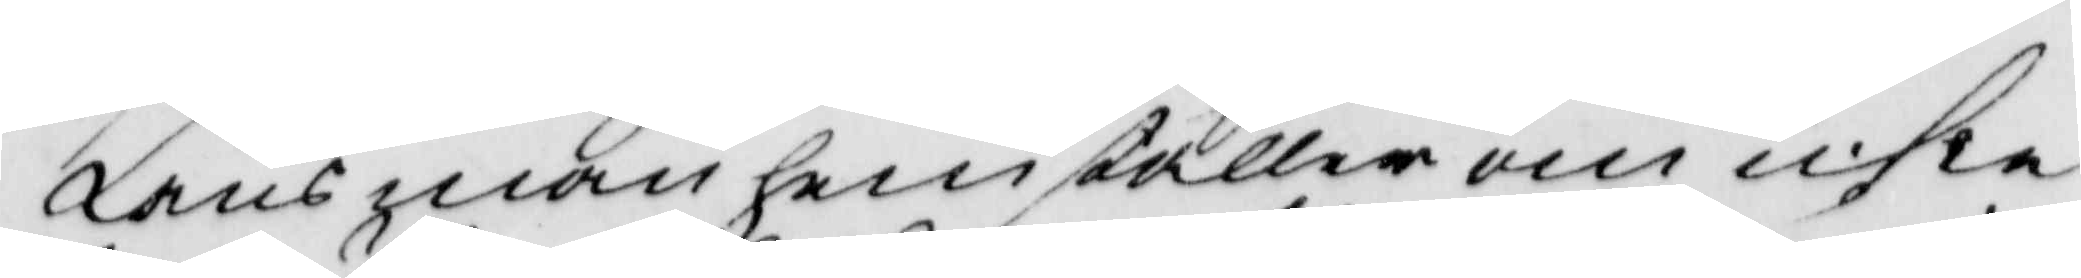Länsman hemställer om icke
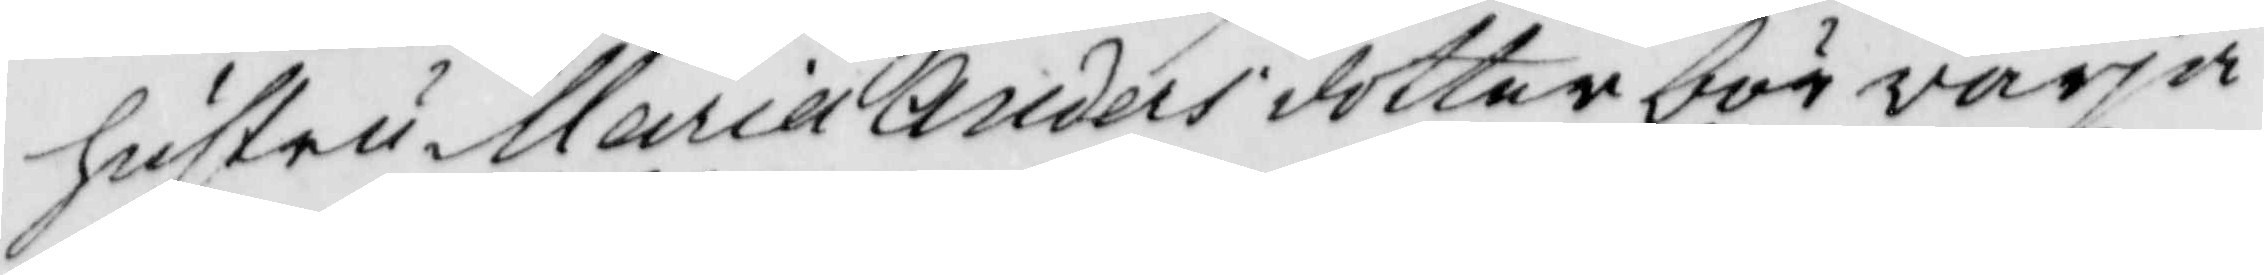hustru maria Andersdotter bör varja
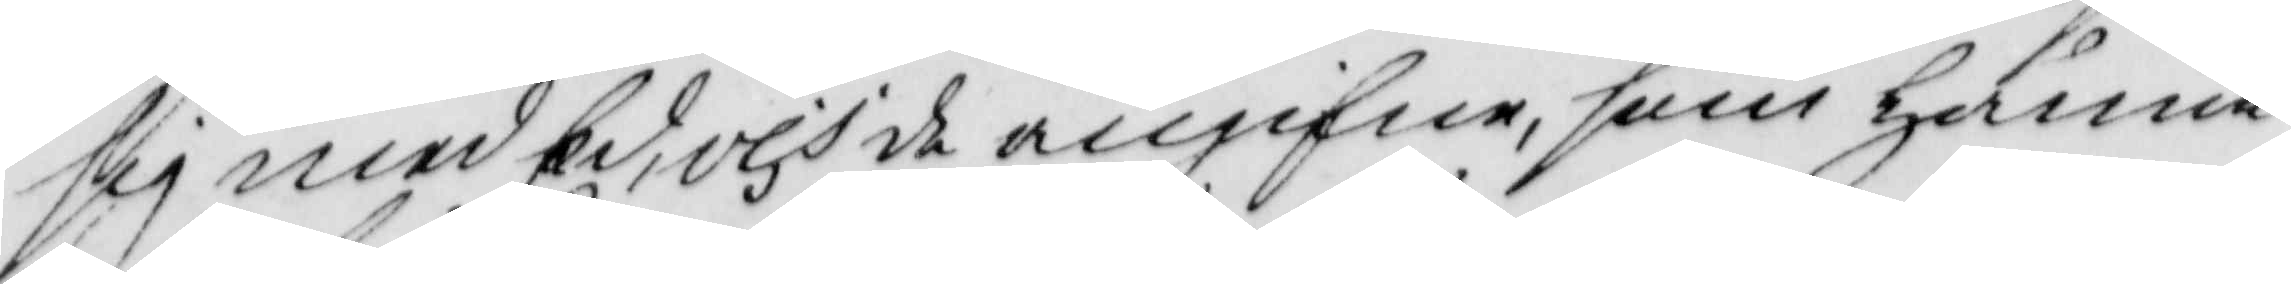sig med Ed, och de angifne, som hänne
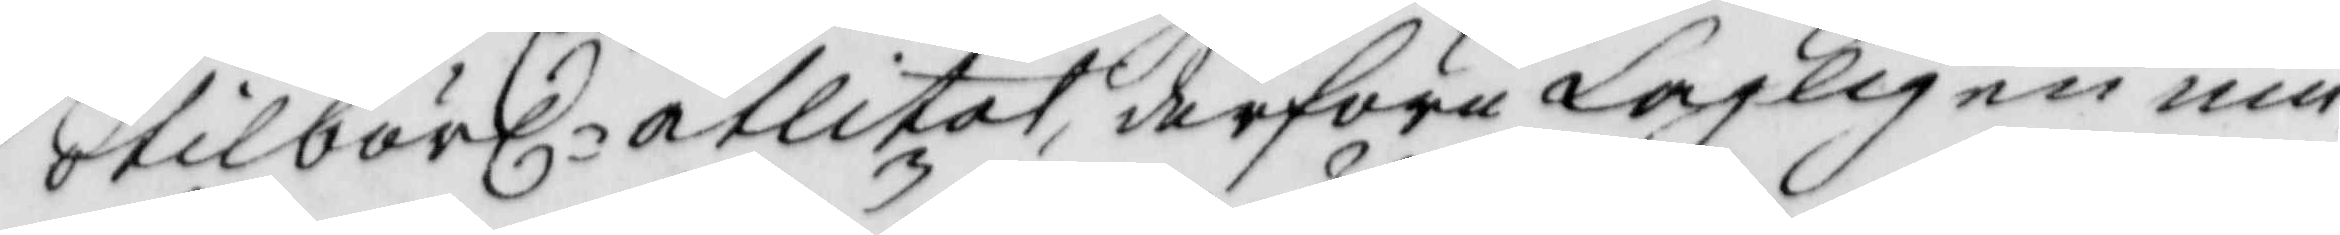tilbörl. åtlitat derföre Lagligen um¬
